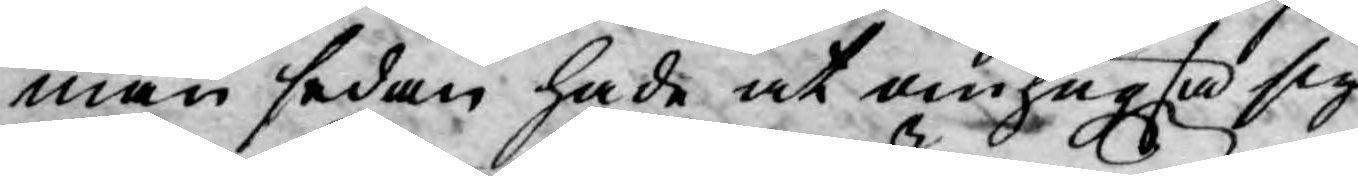man sedan hade at omhugta sig
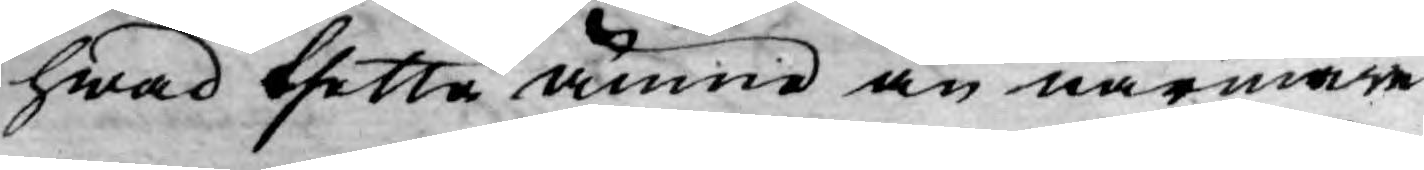hwad thetta ämne än närmare
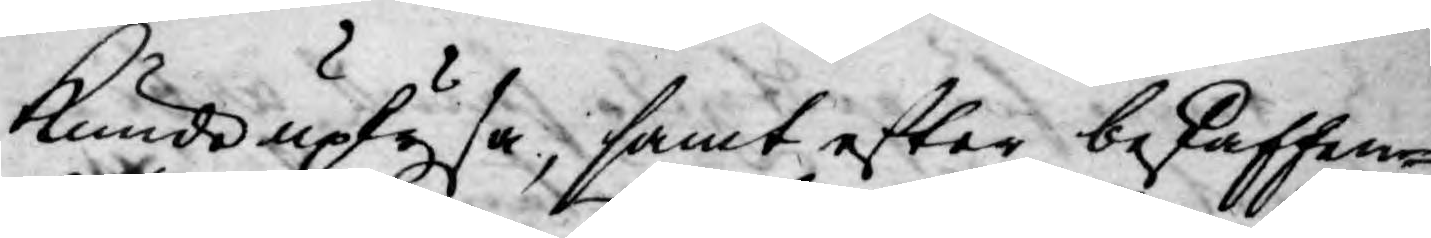kunde uplysa, samt efter beskaffen¬
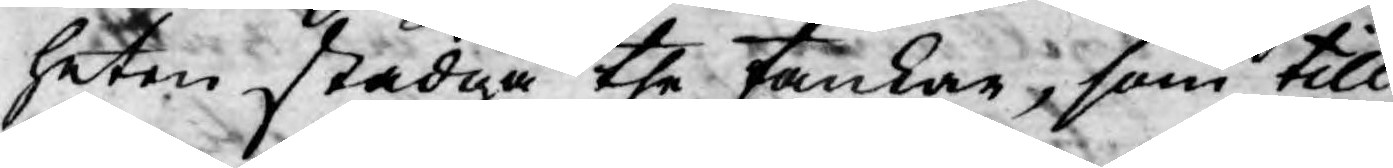heten stadga the tankar, som till
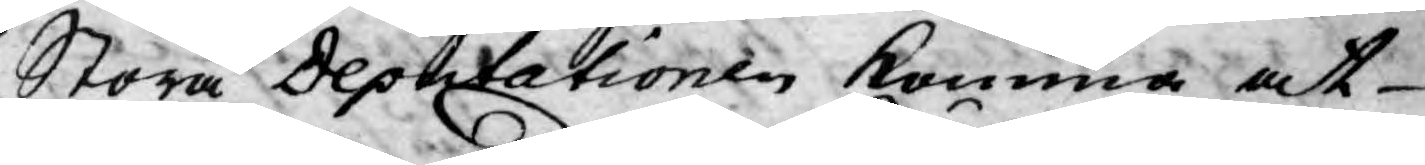Stora Deputationen komma at
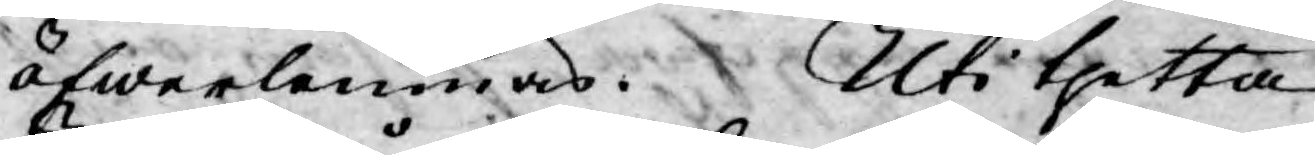öfwerlemnas. Uti thetta
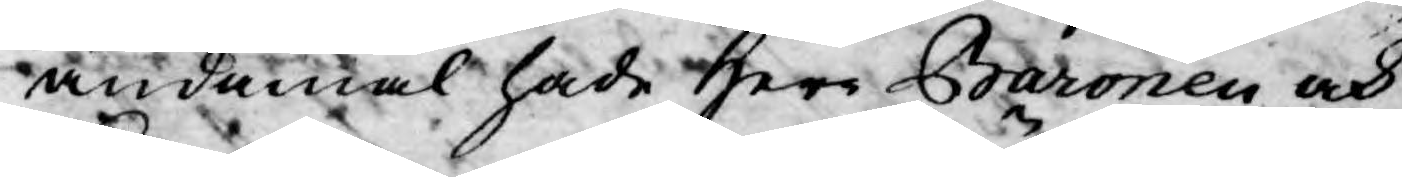ändamål hade Herr Baronen och
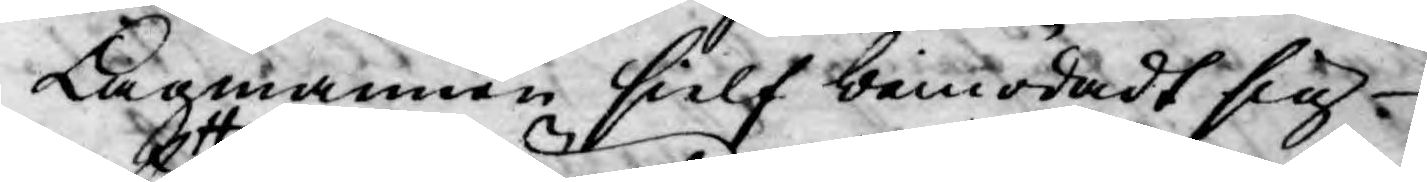Lagmannen sielf bemödadt sig
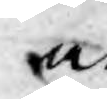at
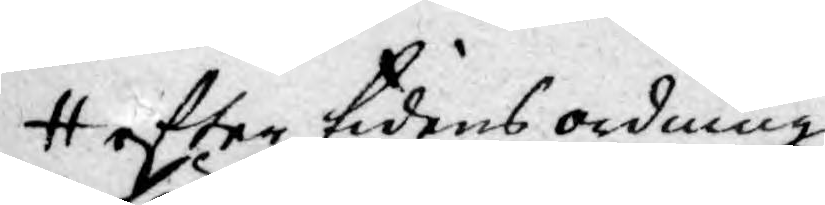efter tidens ordning
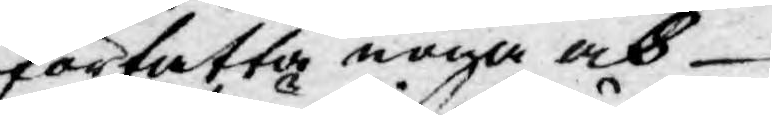författa noga och
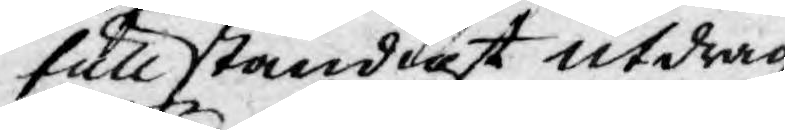fullständigt utdrag
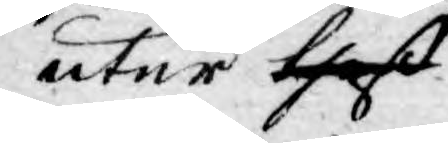utur thes
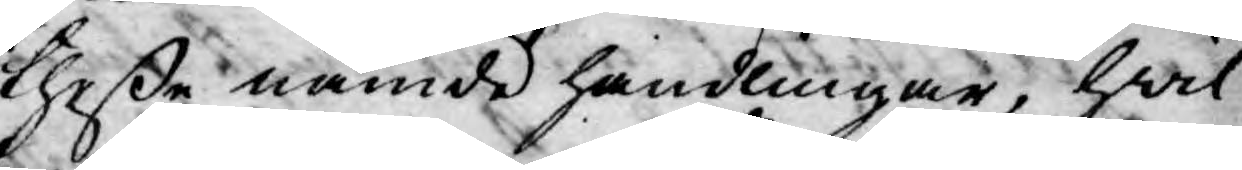theße nämde handlingar, hwil¬
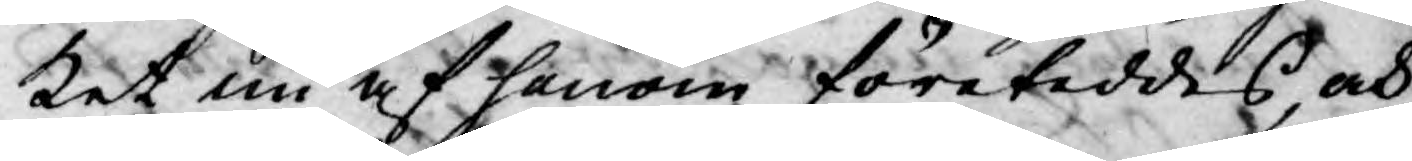ket nu af honom företeddes, och
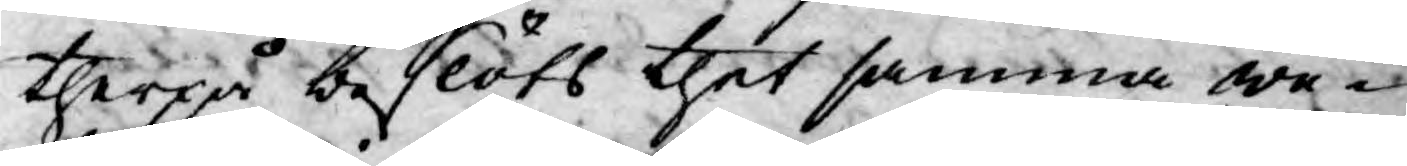therpå beslöts thet samma we¬
